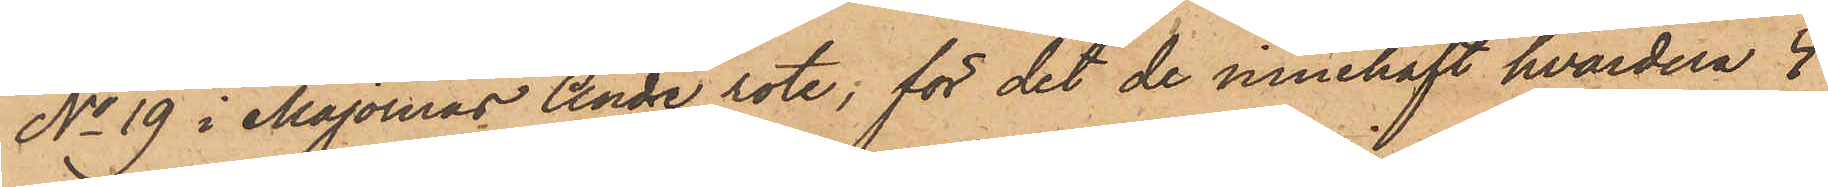No 19 i Majornas Andre rote, för det de innehaft hvardera 4
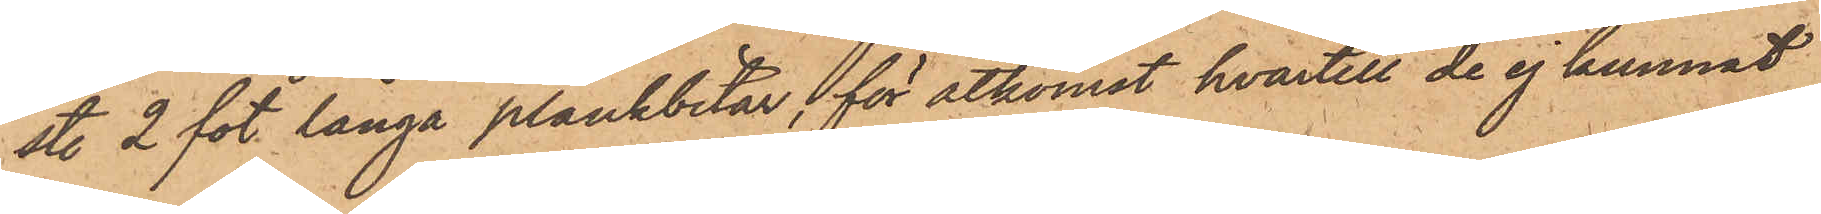sty. 2 fot långa plankbitar, för åtkomst hvartill de ej kunnat
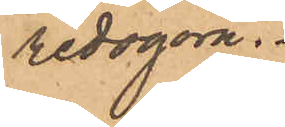redogöra.
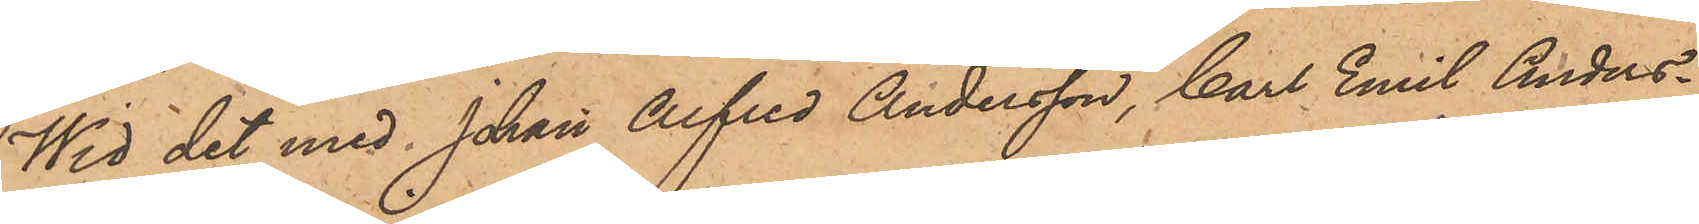Wid det med Johan Alfred Andersson, Carl Emil Anders¬
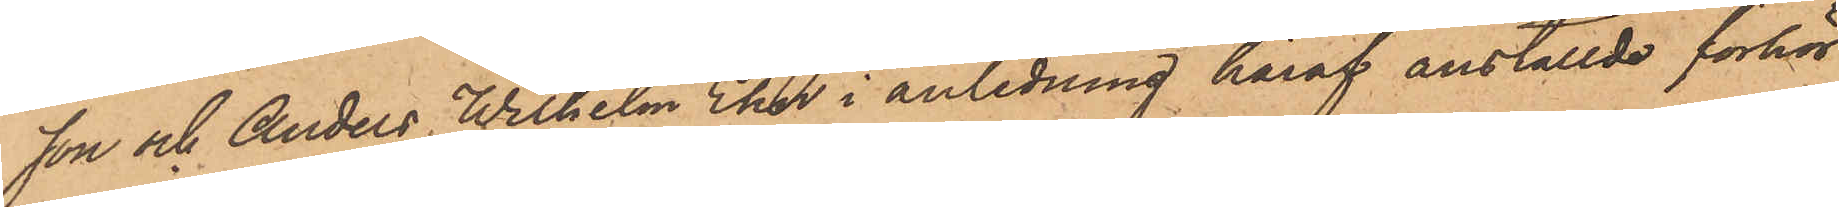son och Anders Wilhelm Ehn i anledning häraf anställde förhör
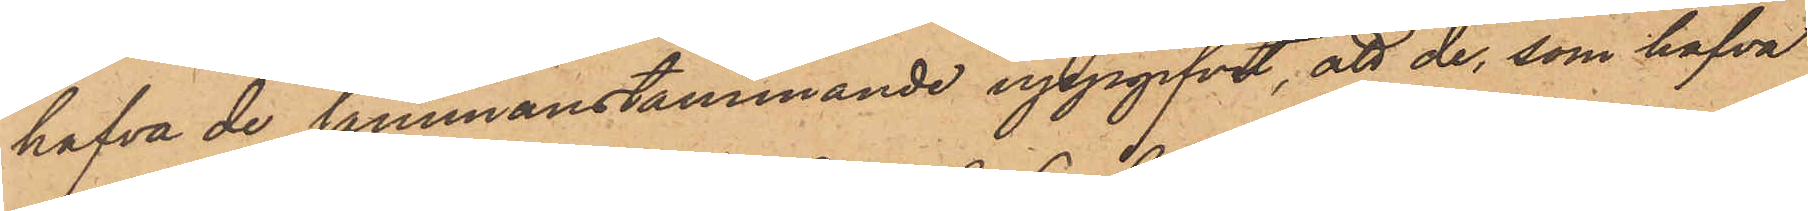hafva de sammanstämmande uppgifvit, att de, som hafva
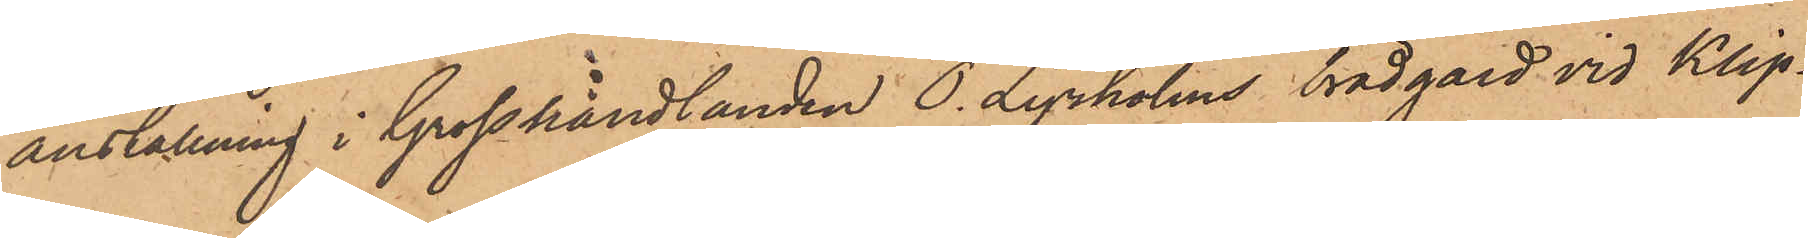anställning i Grosshandlanden O. Lyrholms brädgård vid Klip¬
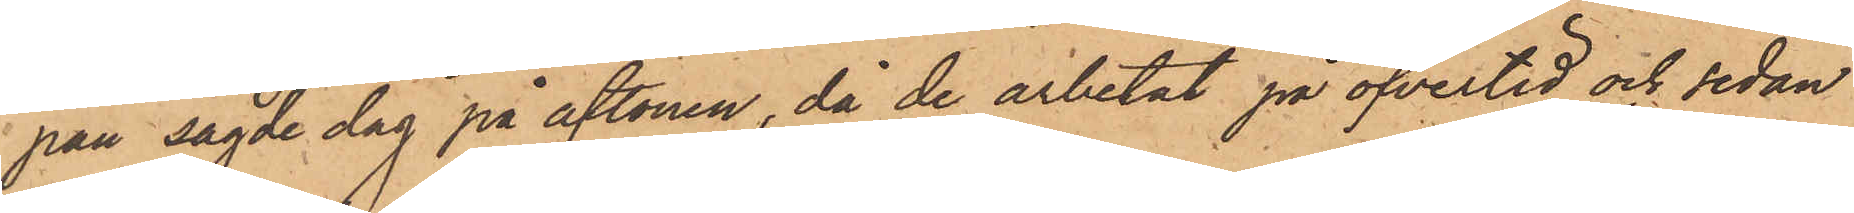pan sagde dag på aftonen, då de arbetat på öfvertid och sedan
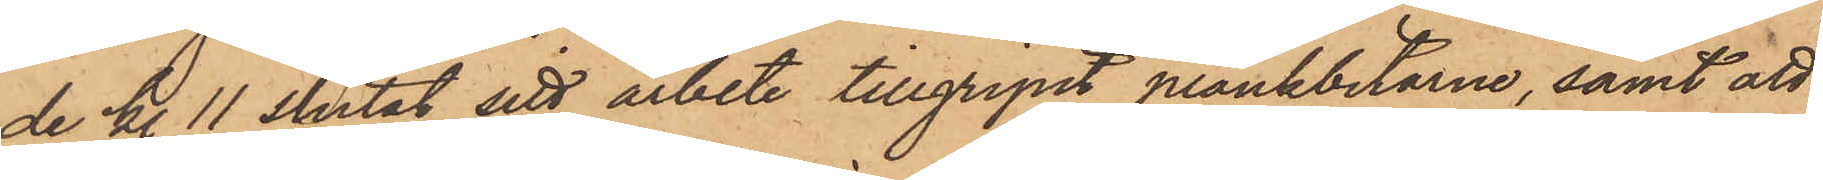de kl. 11 slutat sitt arbete tillgripit plankbitarne, samt att
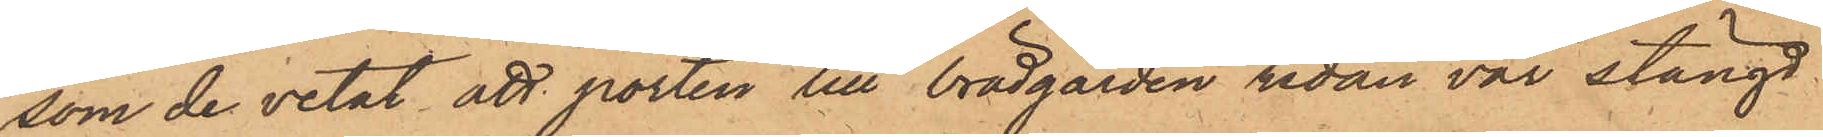som de vetat att porten till brädgården redan var stängd
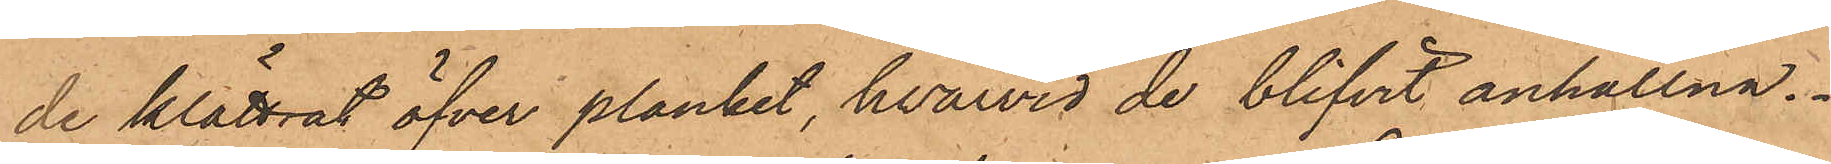de klättrat öfver planket, hvarvid de blifvit anhållna.
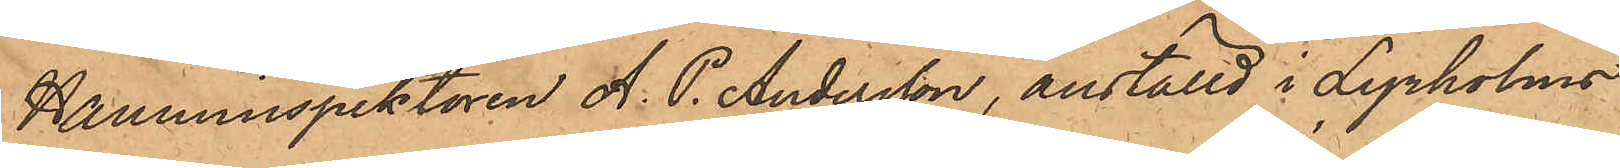Hamninspektoren A. P. Andersson, anställd i Lyrholms
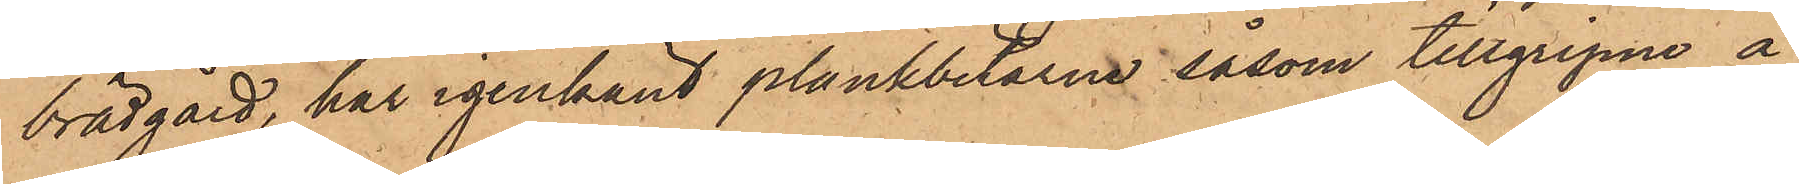brädgård, har igenkänt plankbitarne såsom tillgripne å
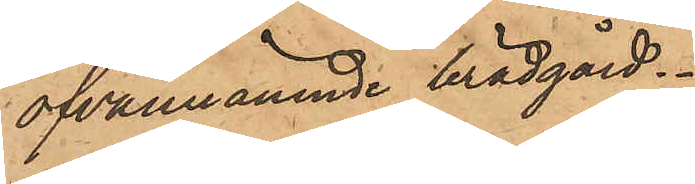ofvannämnde brädgård.
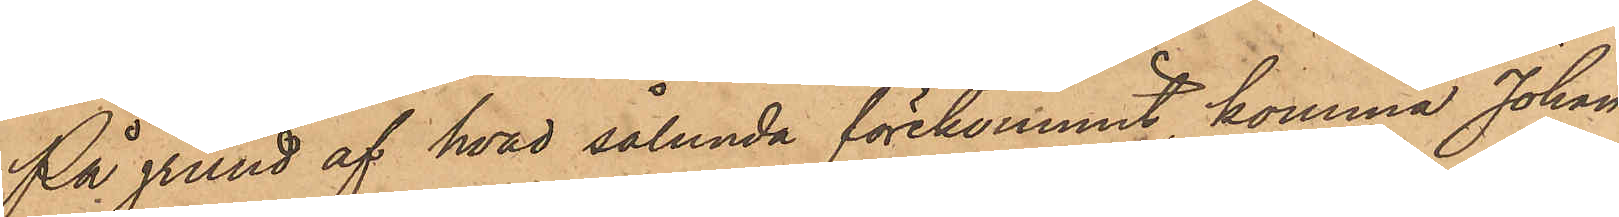På grund af hvad sålunda förekommit, komma Johan
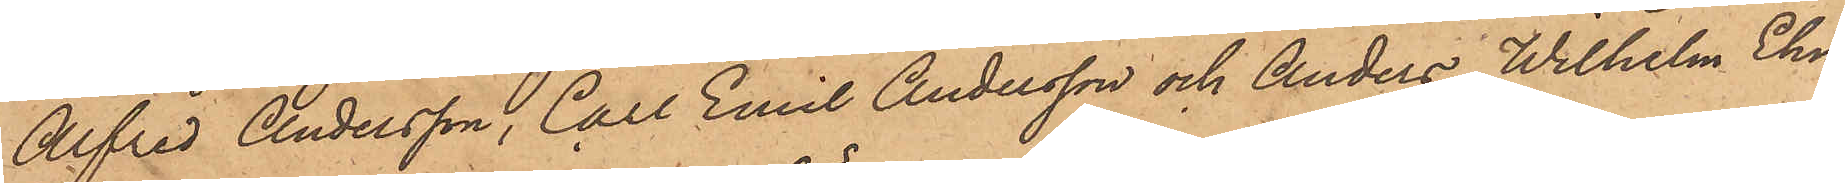Alfred Andersson, Carl Emil Andersson och Anders Wilhelm Ehn
